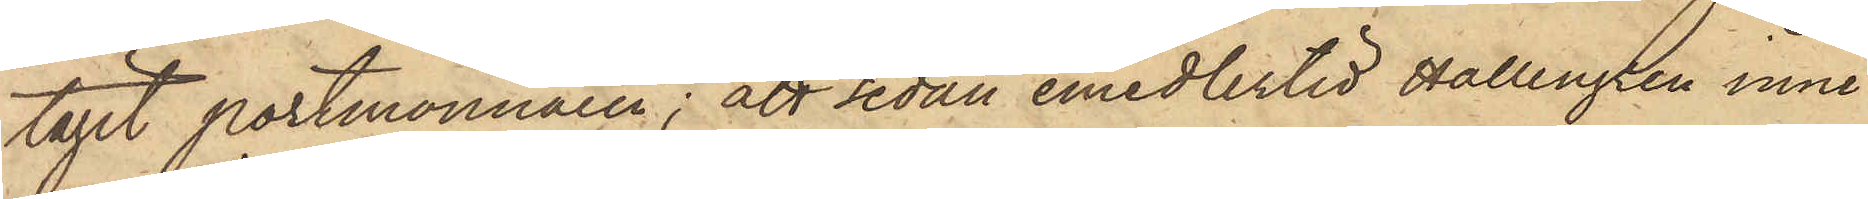tagit portmonnaien; att sedan emedlertid Hallengren inne¬
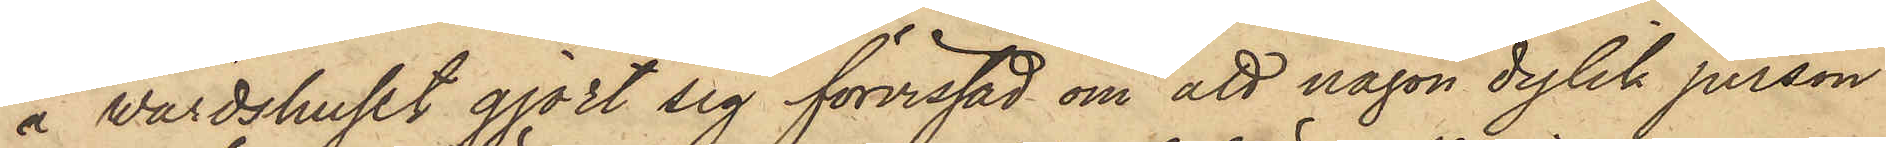å värdshuset gjort sig förvissad om att någon dylik person
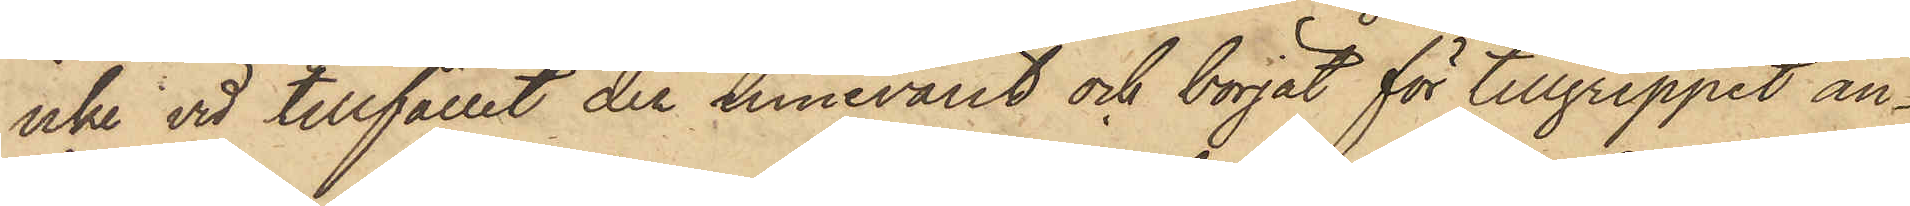icke vid tillfället der innevarit och börjat för tillgreppet an¬
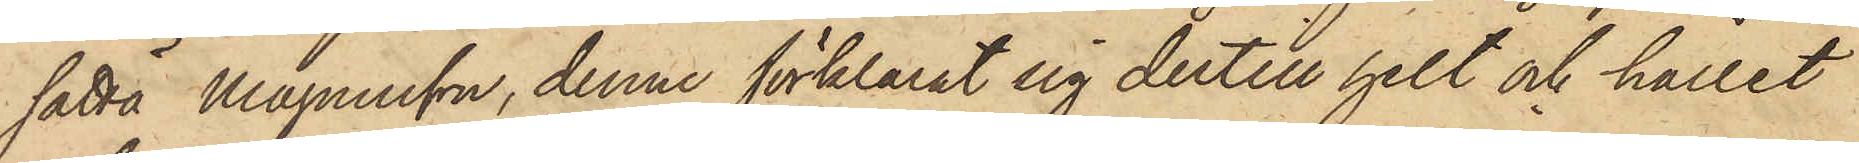satta Magnusson, denne förklarat sig dertill helt och hållet
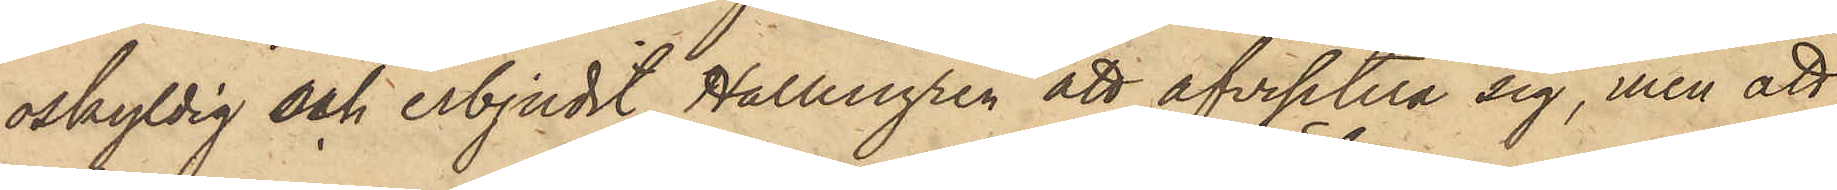oskyldig och erbjudit Hallengren att afvisitera sig, men att
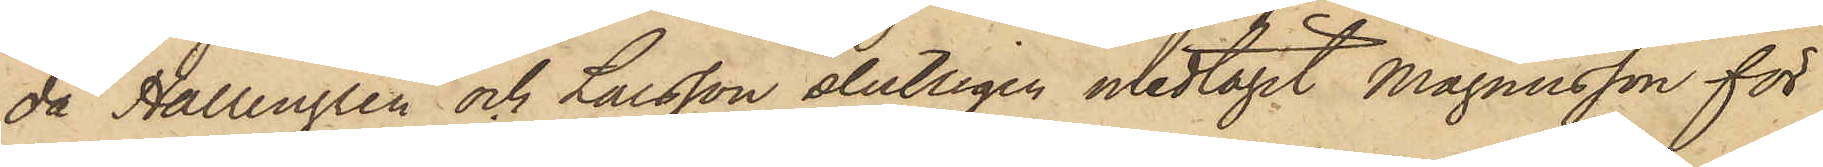då Hallengren och Larsson slutligen medtagit Magnusson för
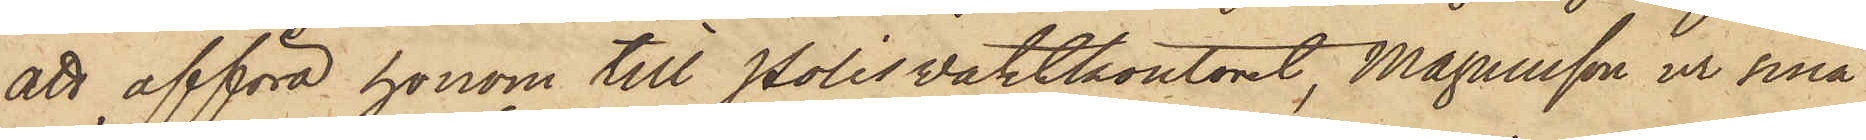att afföra honom till Polisvaktkontoret, Magnusson ur sina
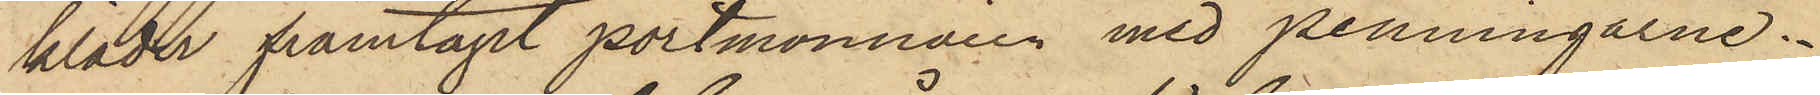kläder framtagit portmonnaien med penningarne.
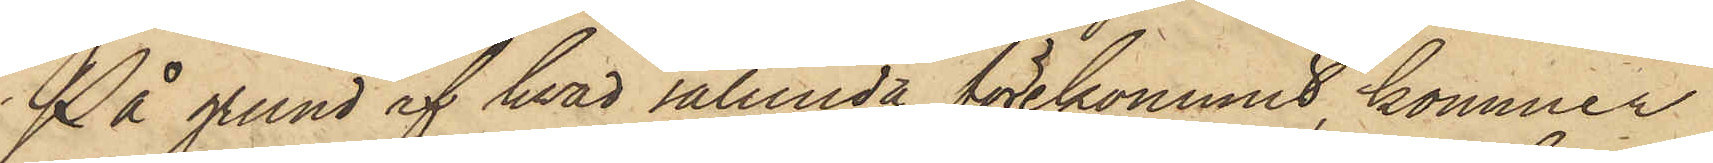På grund af hvad sålunda förekommit, kommer
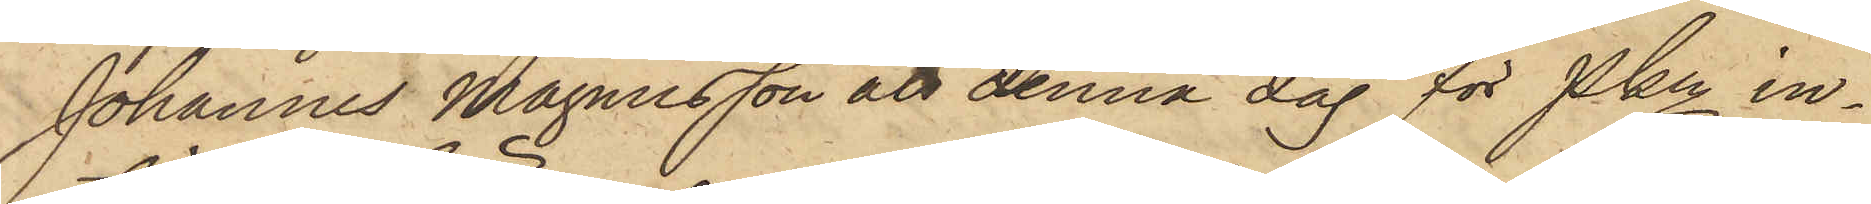Johannes Magnusson att denna dag för Pkn in¬
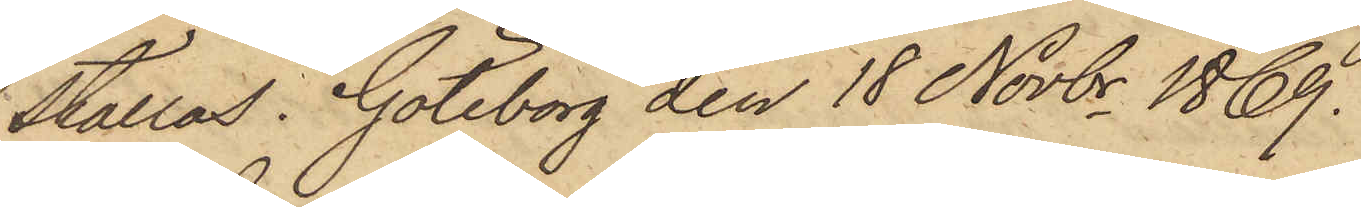ställas. Göteborg den 18 Novbr 1869.
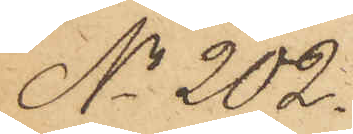No 202.
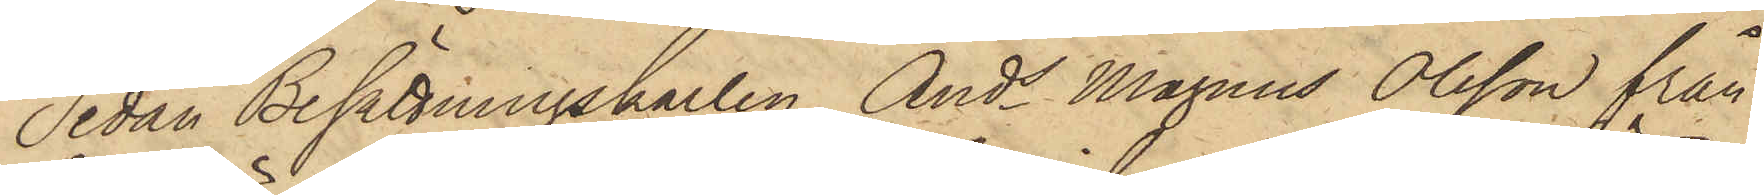Sedan Besättningskarlen Ands Magnus Olsson från
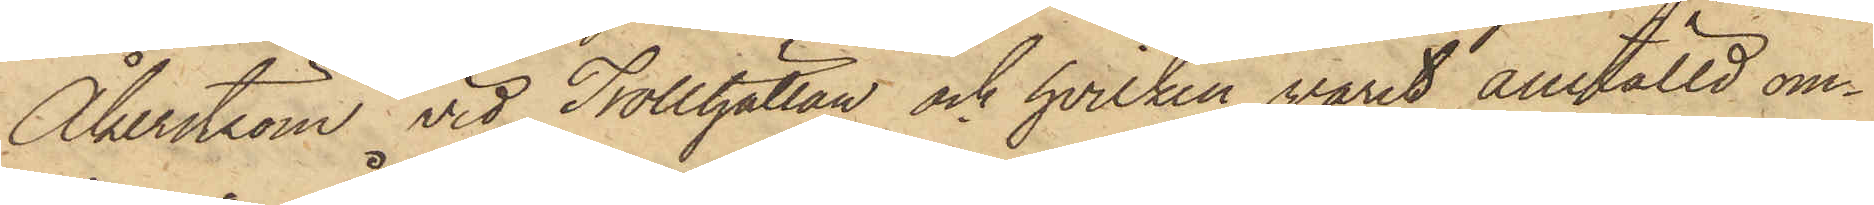Åkerström vid Trollhättan och hvilken varit anställd om¬
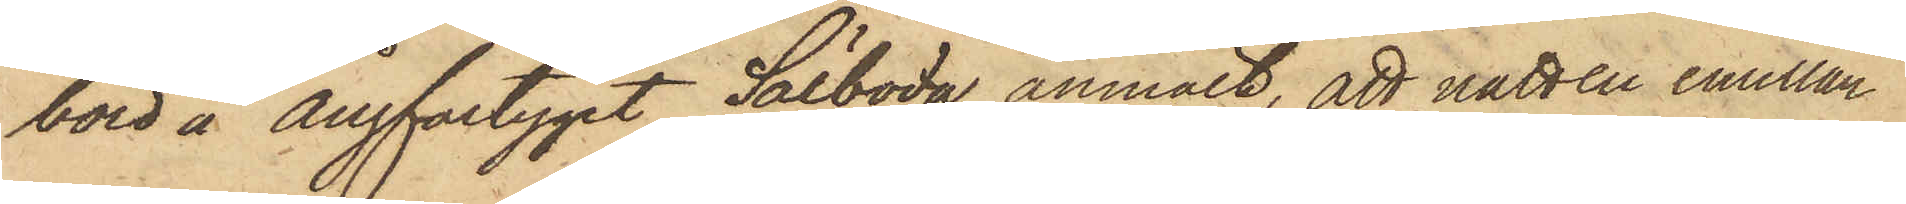bord å Ångfartyget Sälboda, anmält, att natten emellan
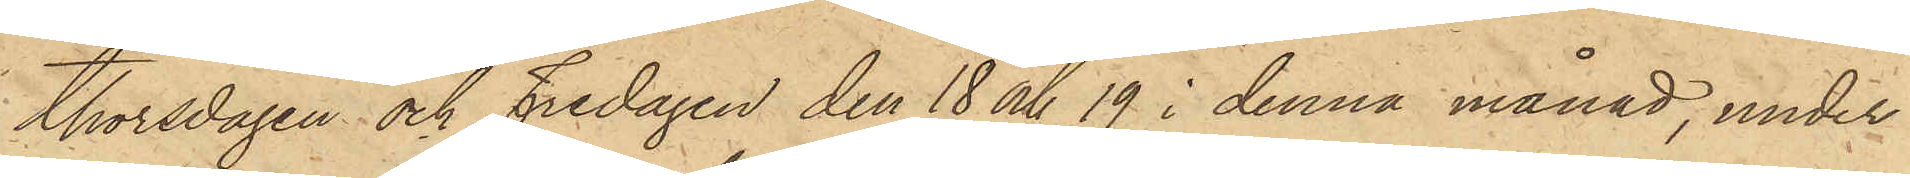Thorsdagen och Fredagen den 18 och 19 i denna månad, under
